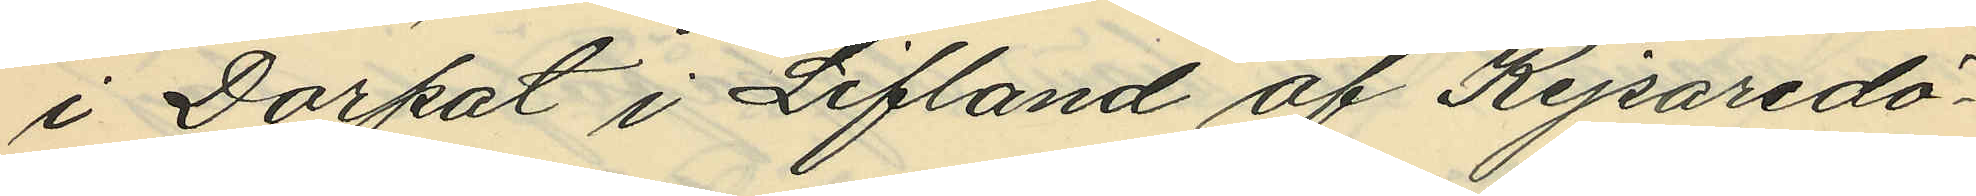i Dorpat i Lifland af Kejsaredö¬
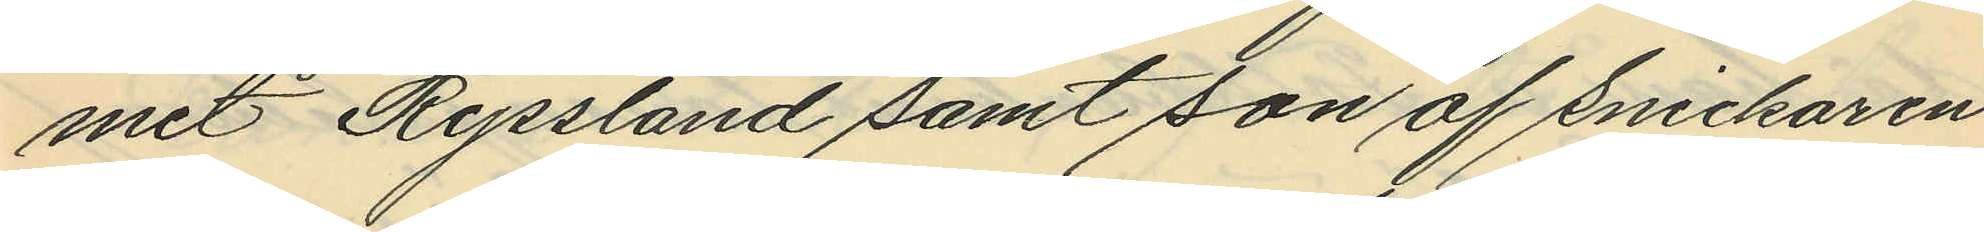met Ryssland samt son af snickaren
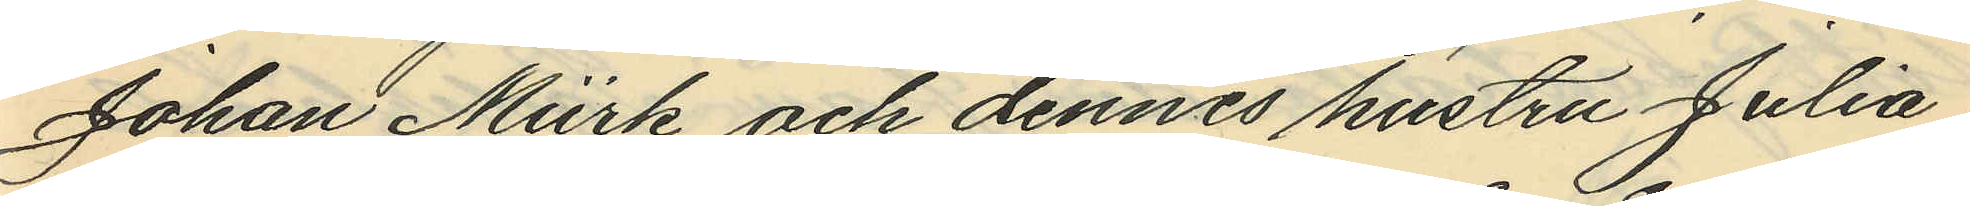Johan Mürk och dennes hustru Julia;
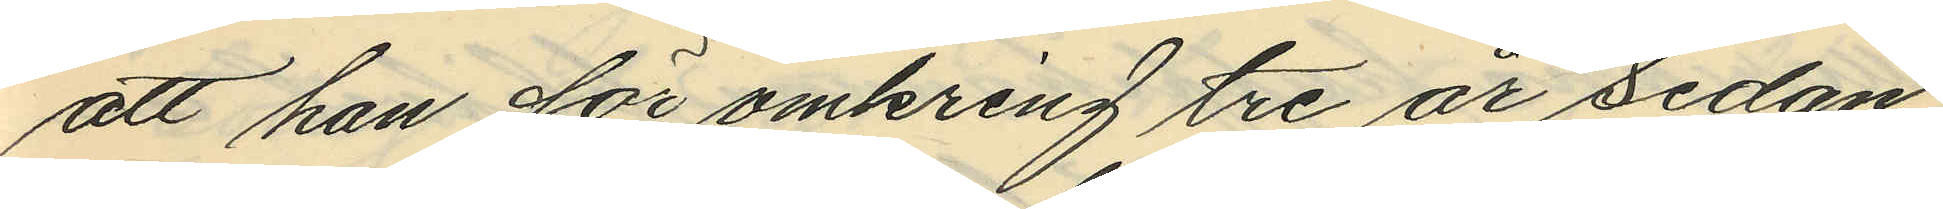att han för omkring tre år sedan
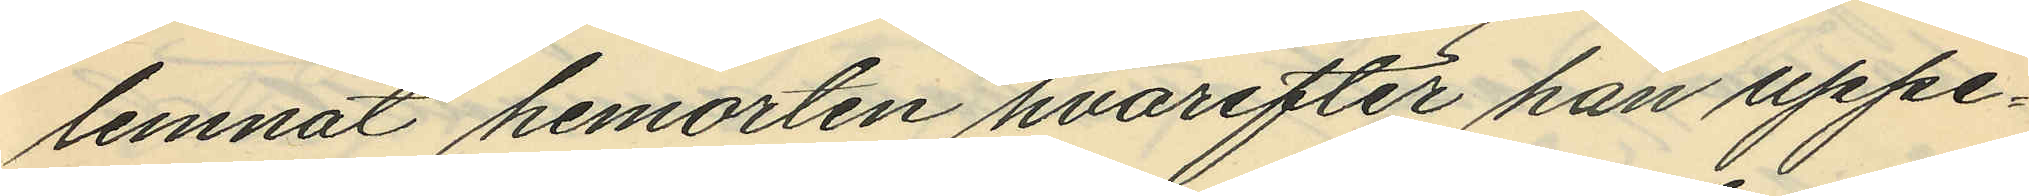lemnat hemorten hvarefter han uppe¬
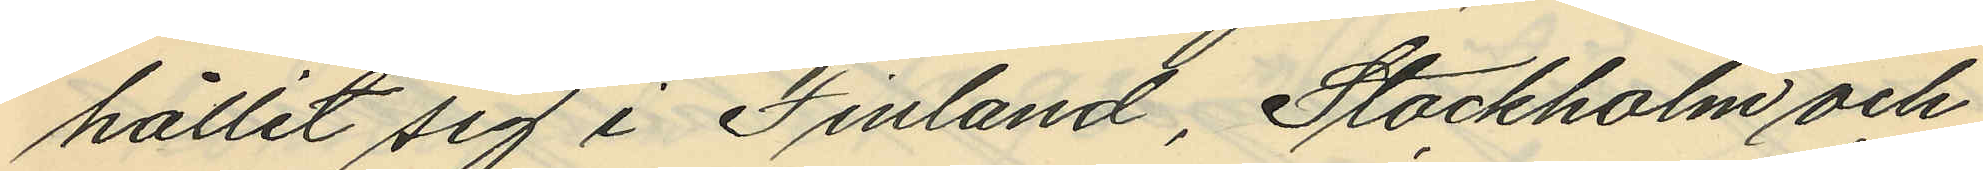hållit sig i Finland, Stockholm och
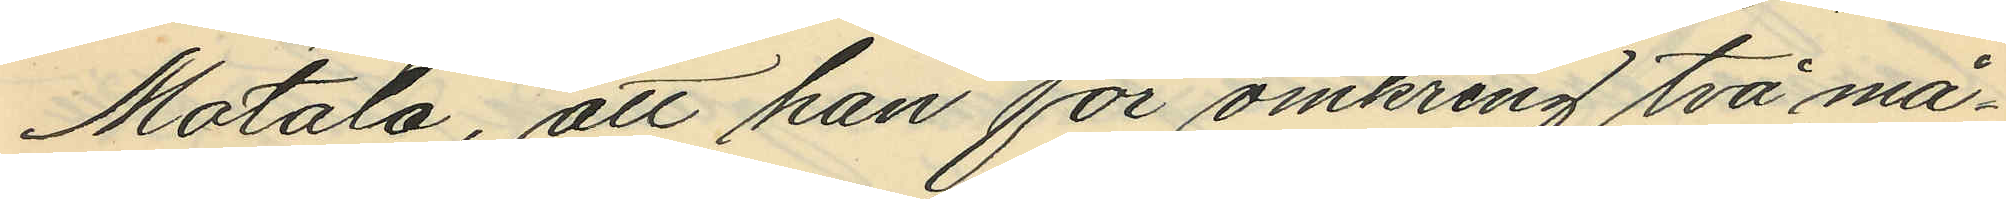Motala, att han för omkring två må¬
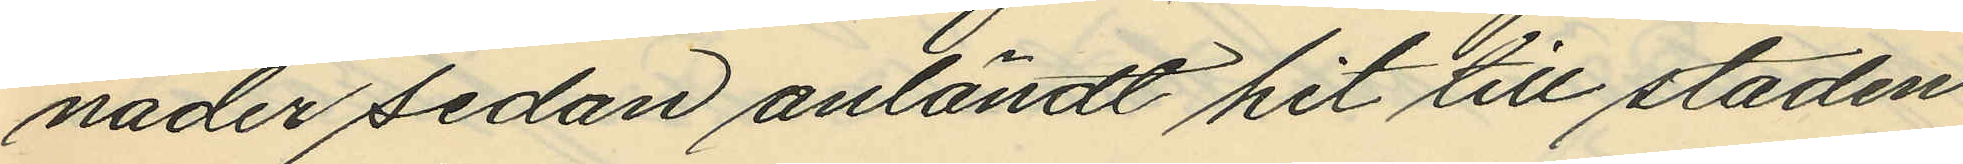nader sedan anländt hit till staden
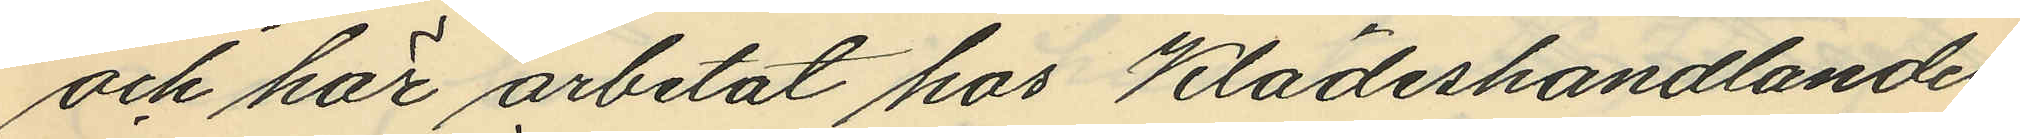och här arbetat hos Klädeshandlanden
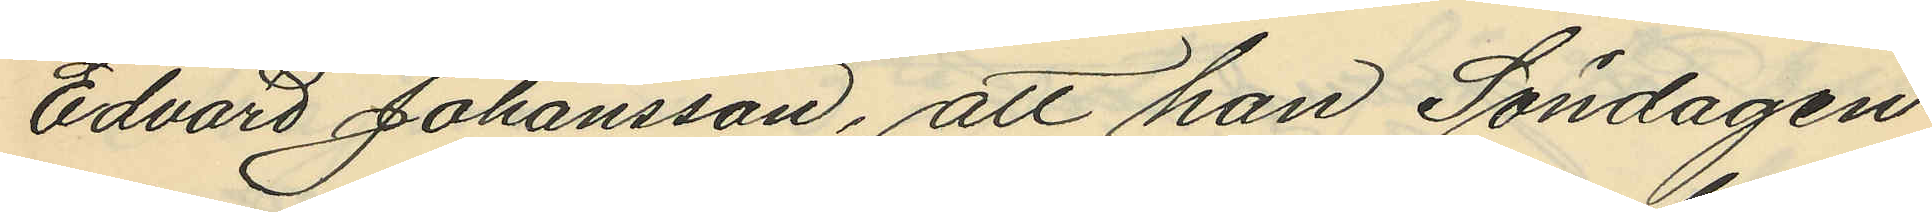Edvard Johansson, att han Söndagen
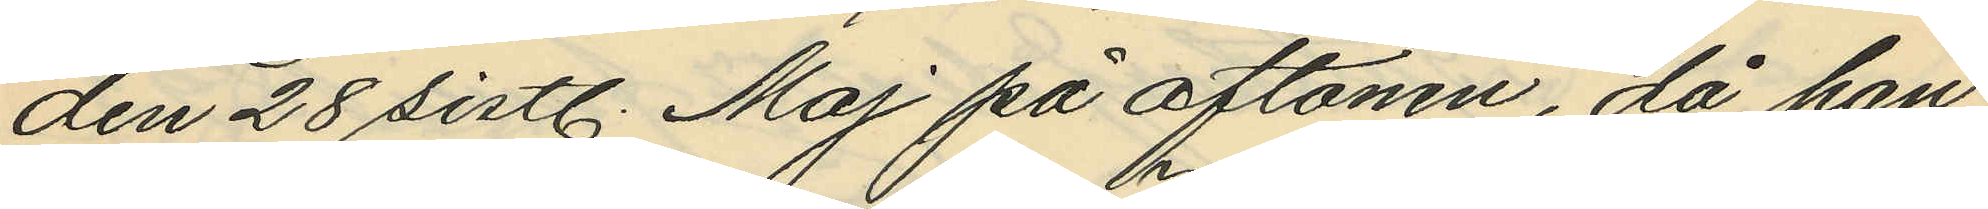den 28 sistl. Maj på aftonen, då han
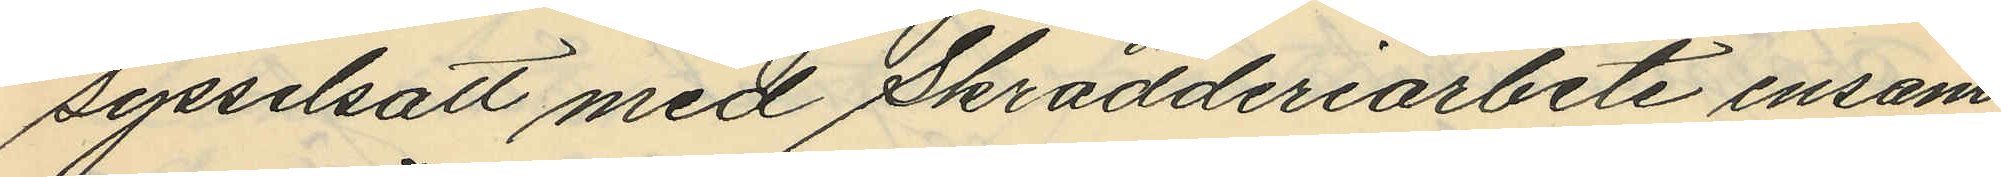sysselsatt med Skrädderiarbete ensam
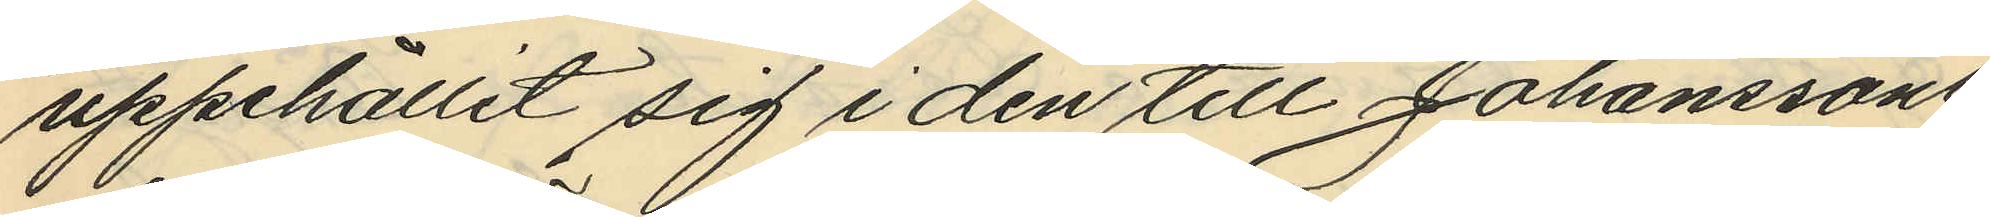uppehållit sig i den till Johanssons
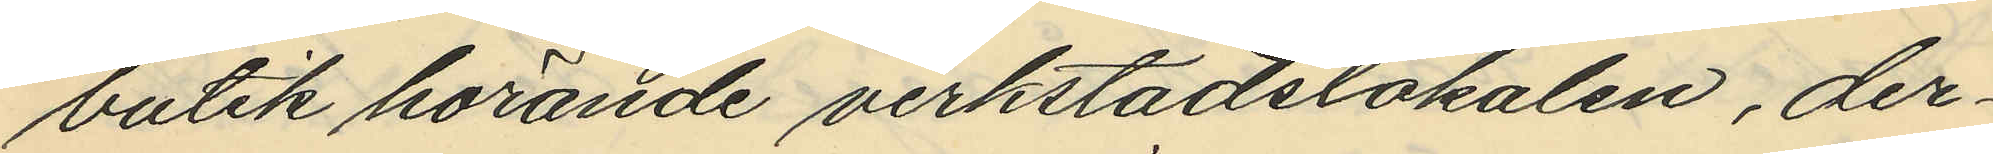butik hörande verkstadslokalen, der¬
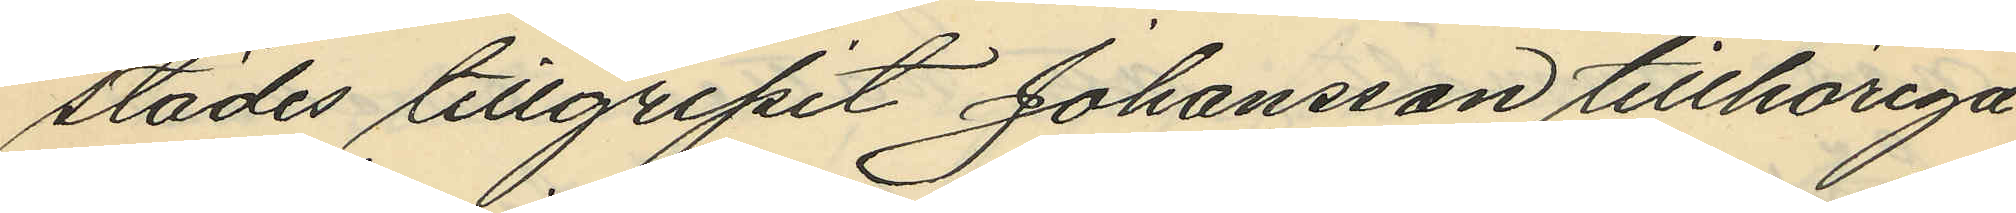städes tillgripit Johansson tillhöriga
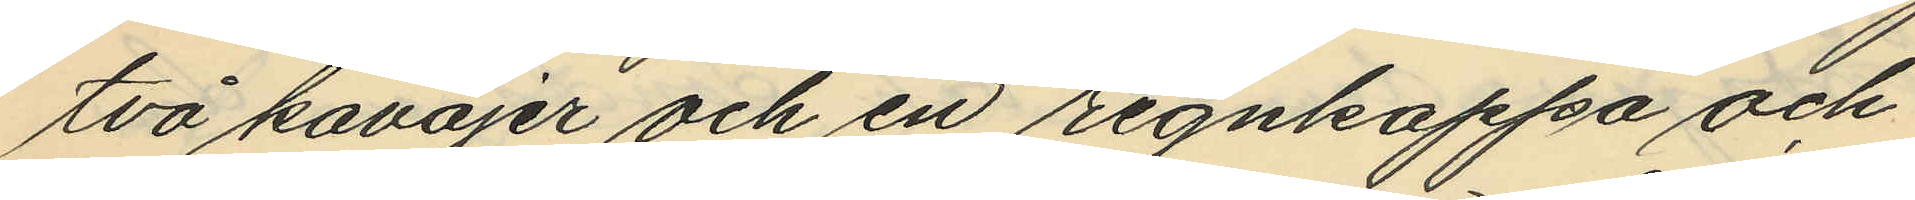två kavajer och en regnkappa och
